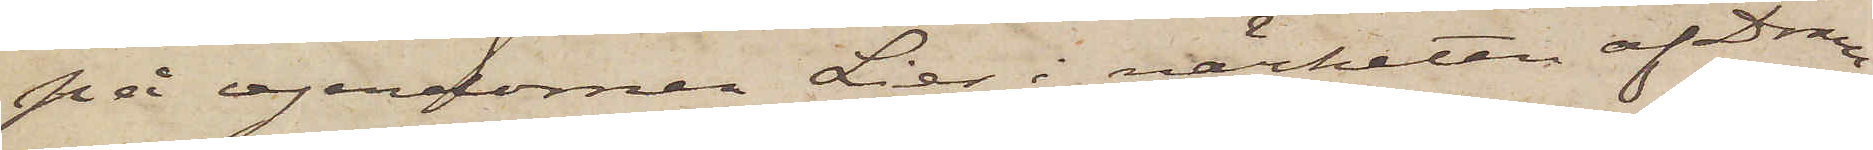på egendomen Lier i närheten af Dram¬
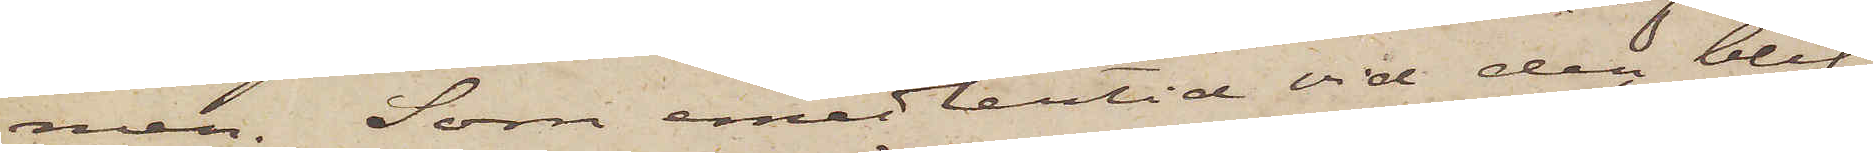men. Som emedlertid vid den blif¬
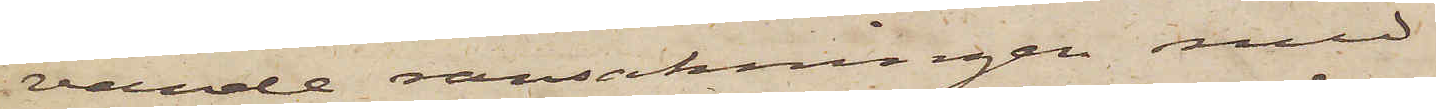vande ransakningen med
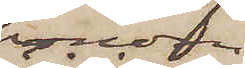honom
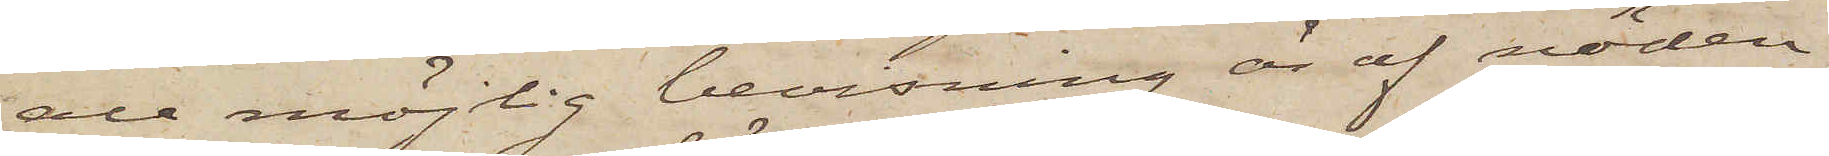all möjlig bevisning är af nöden,
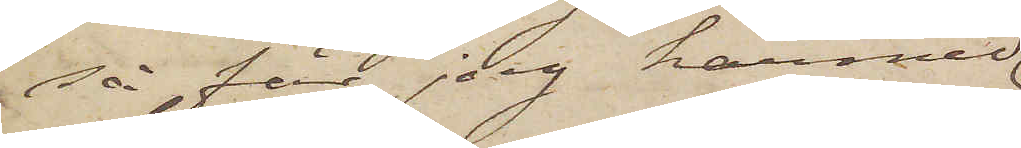så får jag härmed
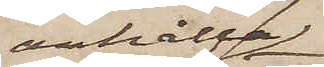anhålla
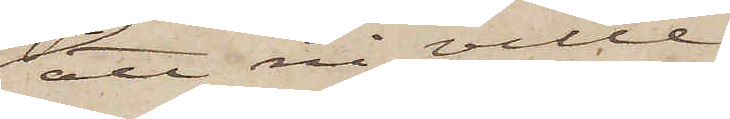att ni ville
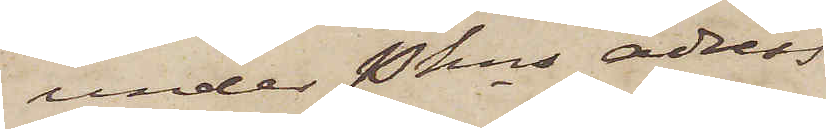under Pkns adress
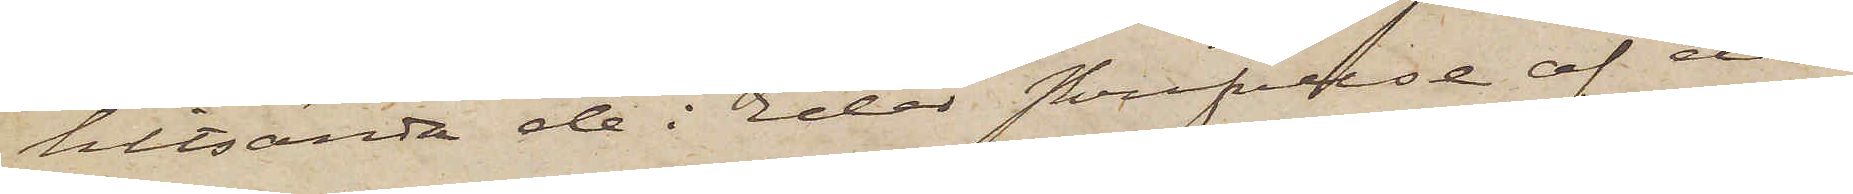hitsända de i Eder skrifvelse af den
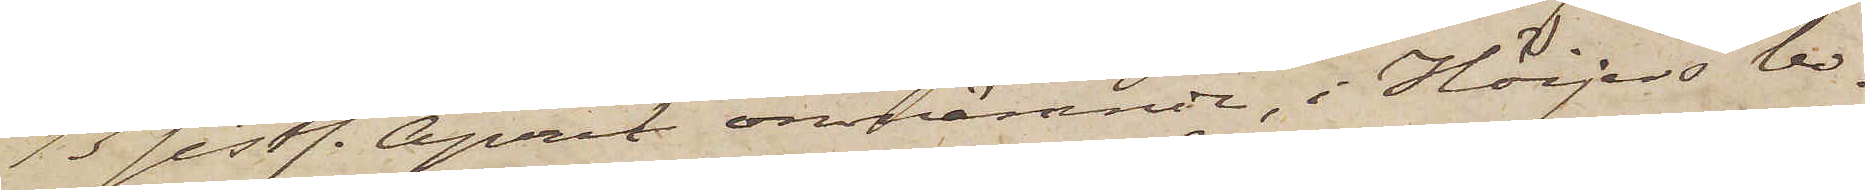13 sistl. April omnämnde i Höijers bo¬
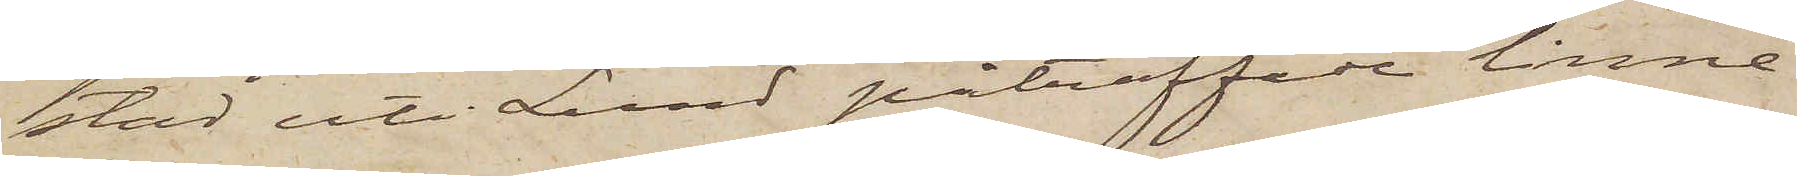stad uti Lund påträffade linne¬
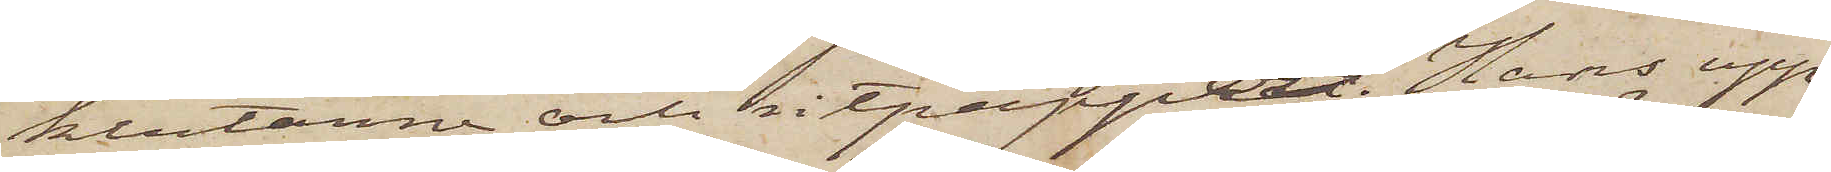klutarne och ritpappet. Hans upp¬
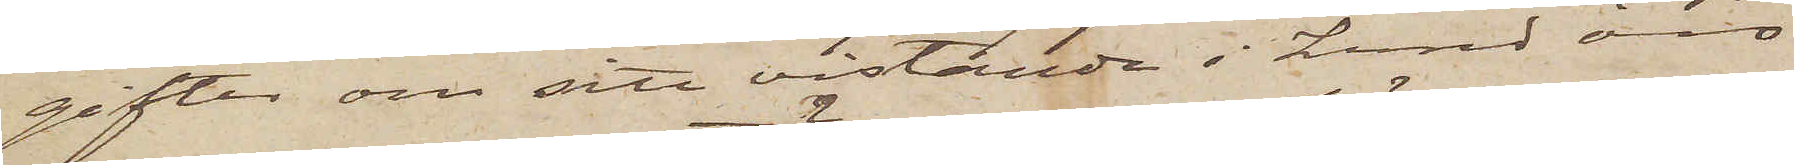gifter om sitt vistande i Lund äro
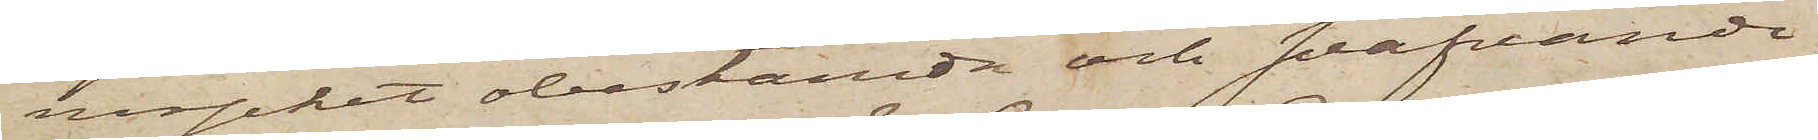mycket obestämda och sväfvande;
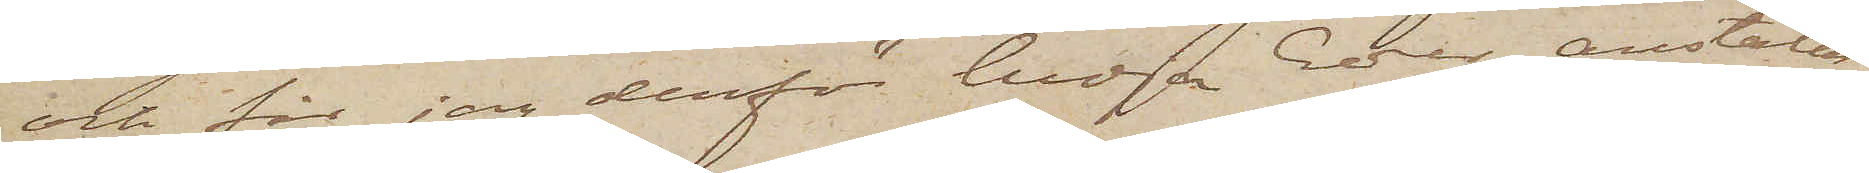och får jag derför bedja Eder anställa
